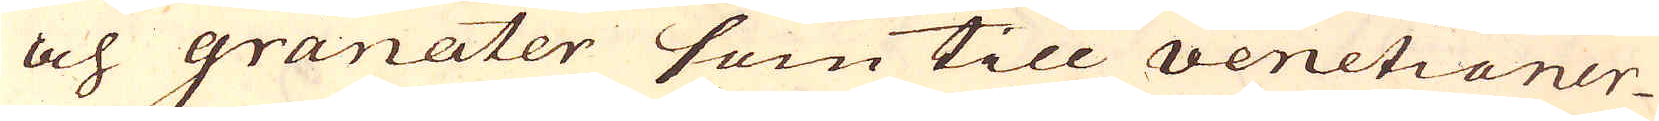och granater som till venetianer-
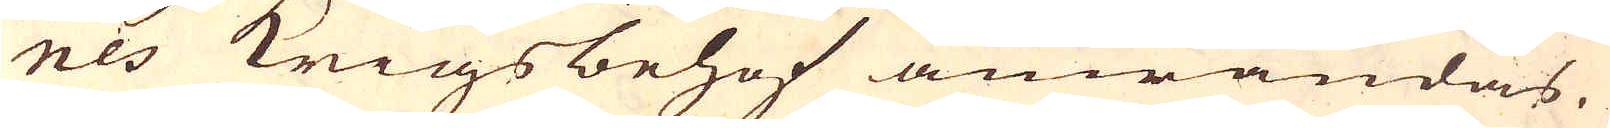nes Krigsbehof anwändas.
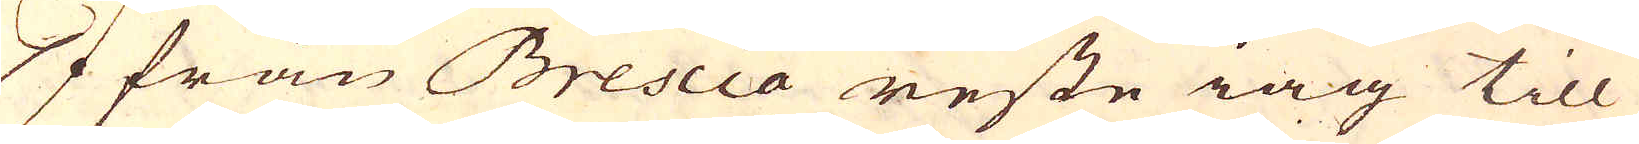Ifrån Brescia reste iag till
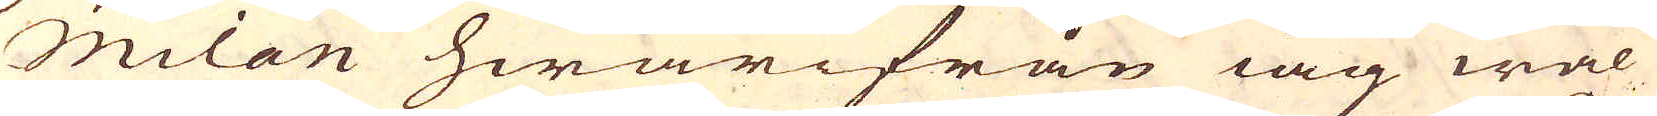Milan hwarifrån iag wäl
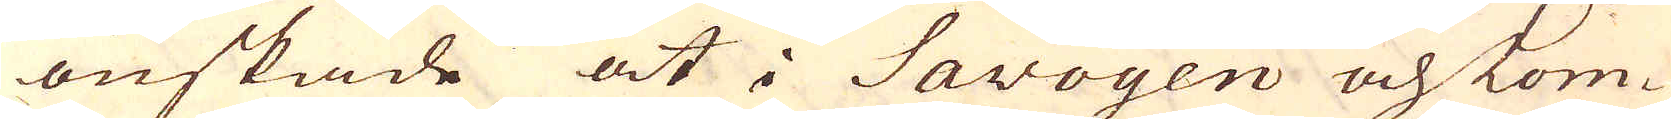önskade at i Savoyen och Lom-
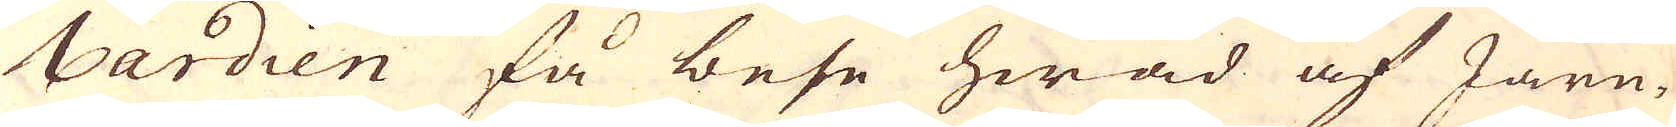bardien få bese hwad af Järn-
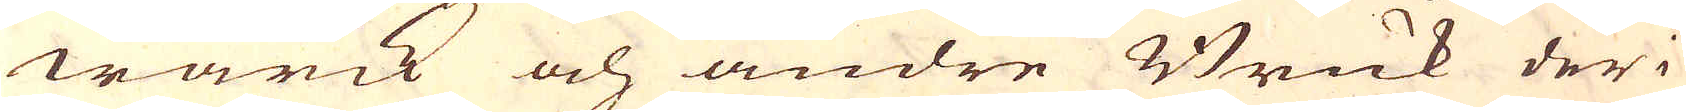wärk och andre Bruk der i
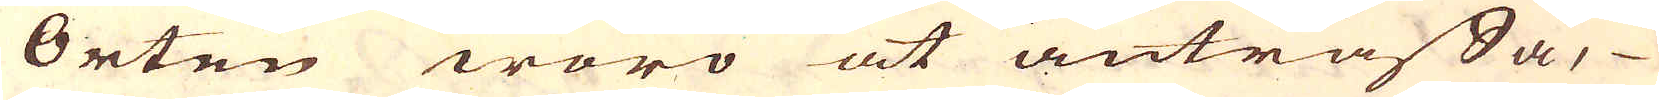Orten woro at anträffa,
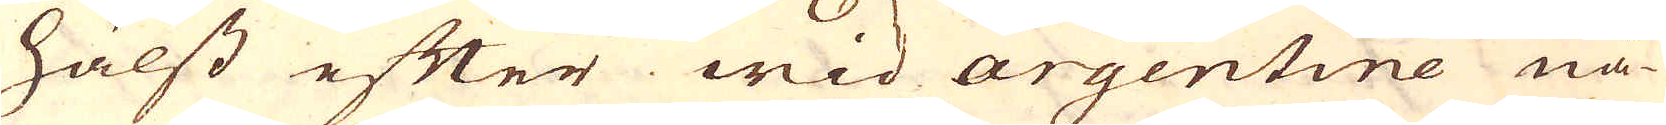hälst efter wid argentine nå-
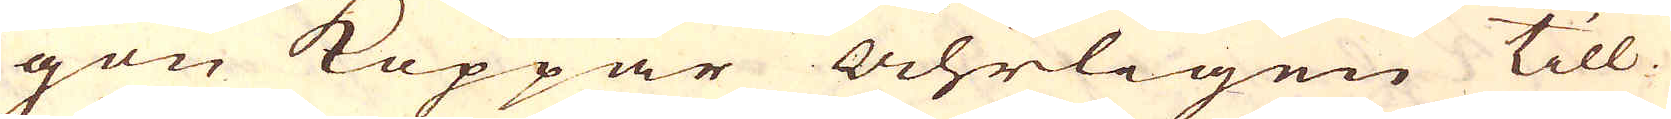gon Koppar Åhrligen till-
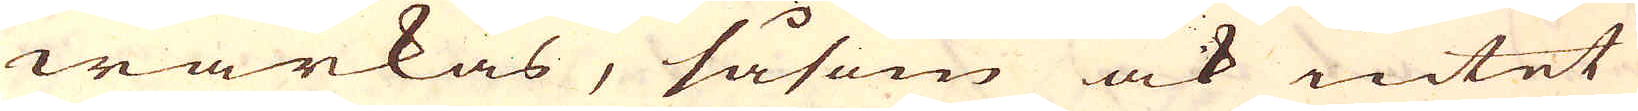wärkas, såsom ock intet
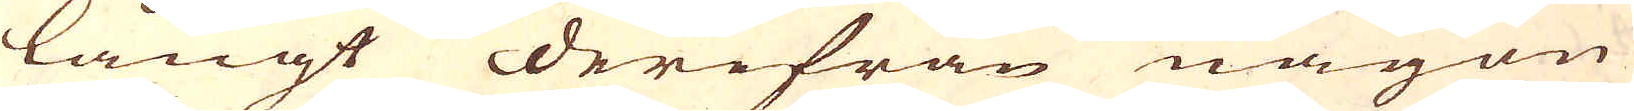långt derifrån någon
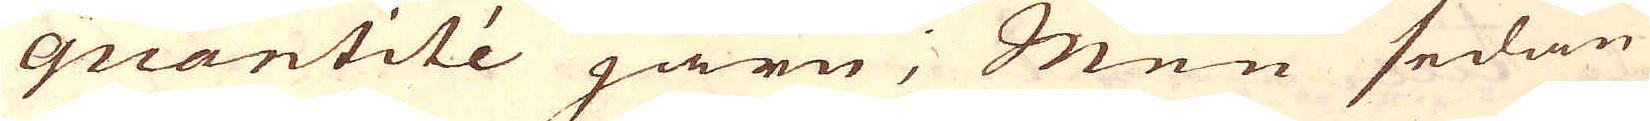quantité järn; Men sedan
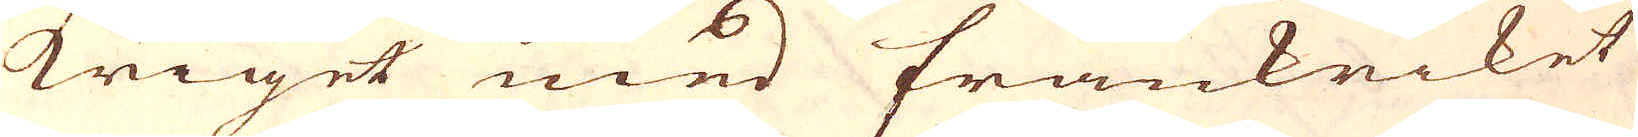kriget med frankriket
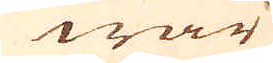war
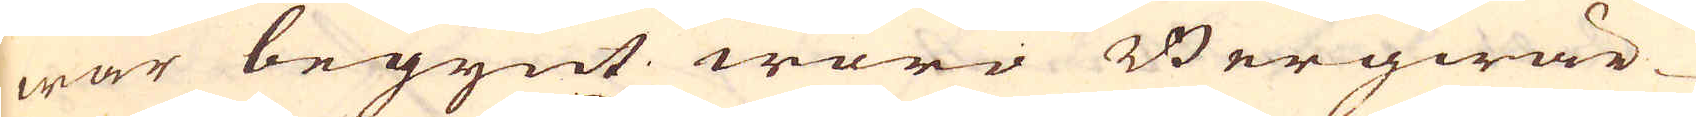war begynt woro Bergwär-
